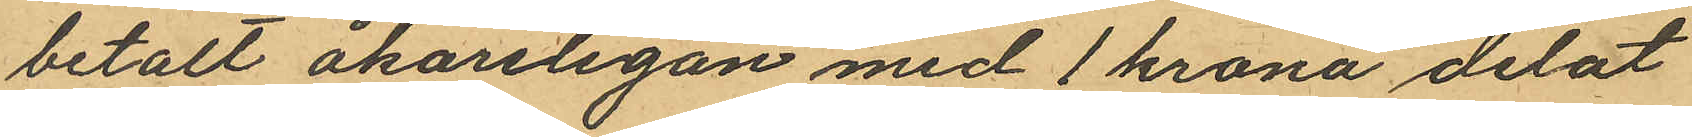betalt åkarelegan med 1 krona delat
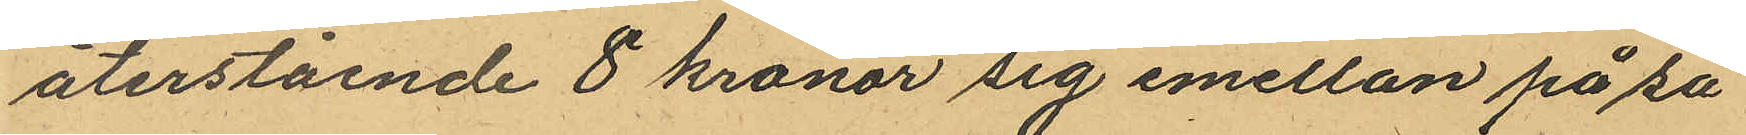återstående 8 kronor sig emellan på så
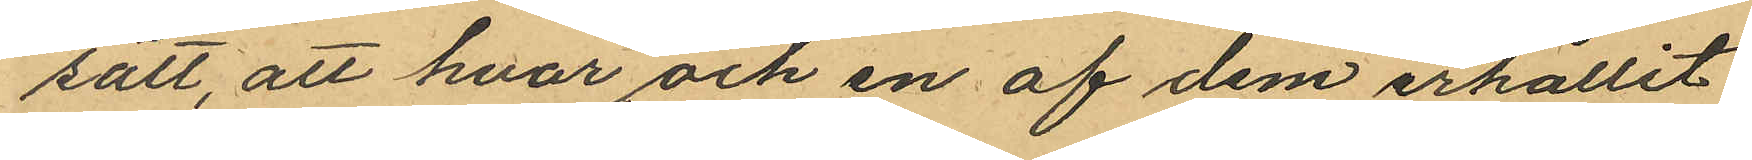sätt, att hvar och en af dem erhållit
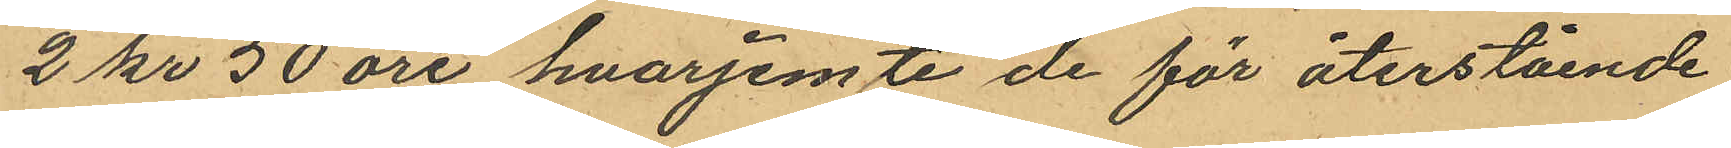2 kr 50 öre hvarjemte de för återstående
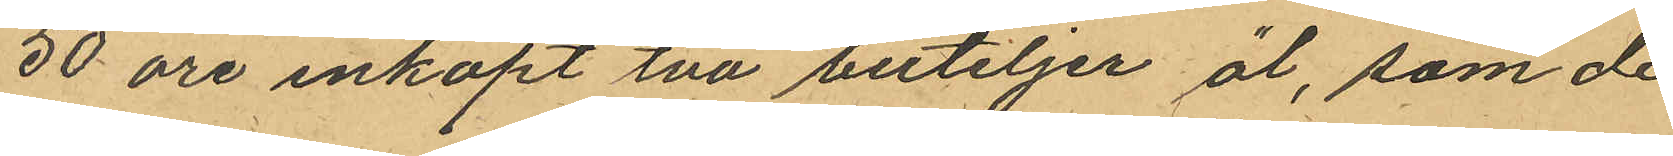50 öre inköpt två buteljer öl, som de
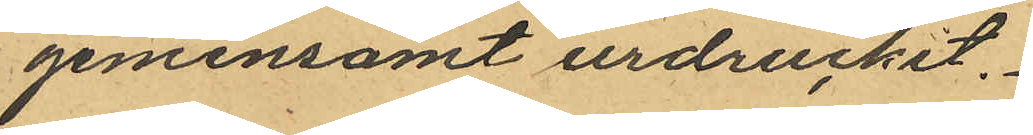gemensamt urdruckit.
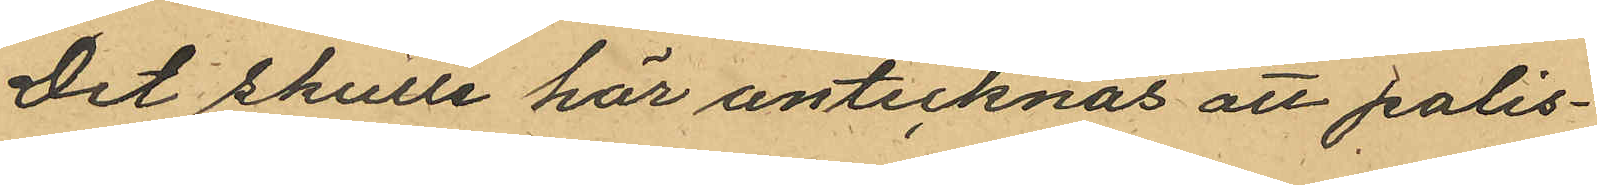Det skulle här antecknas att polis¬
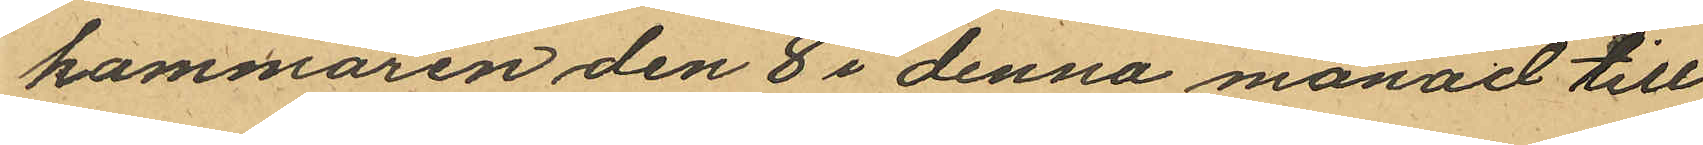kammaren den 8 i denna månad till
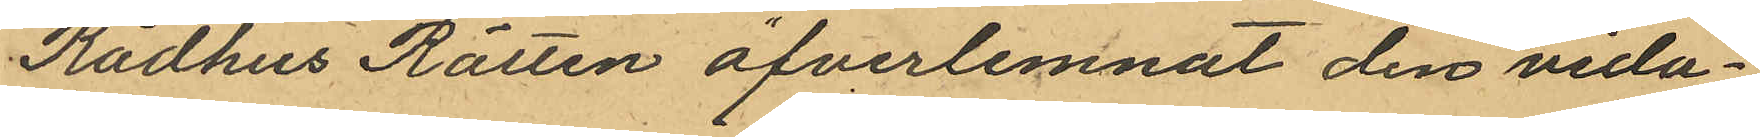Rådhus Rätten öfverlemnat den vida¬
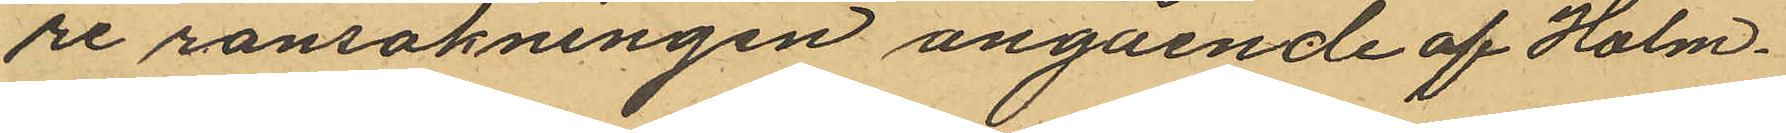re ransakningen angående af Holm¬
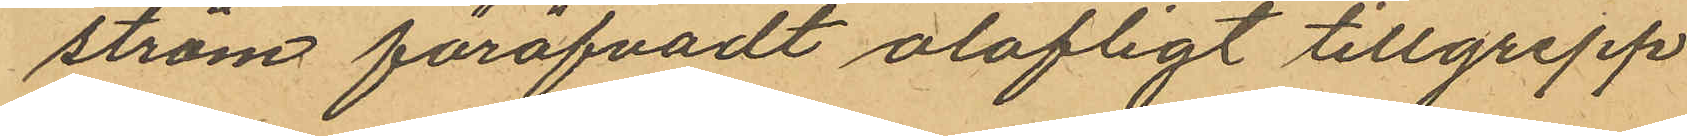ström föröfvadt olofligt tillgrepp
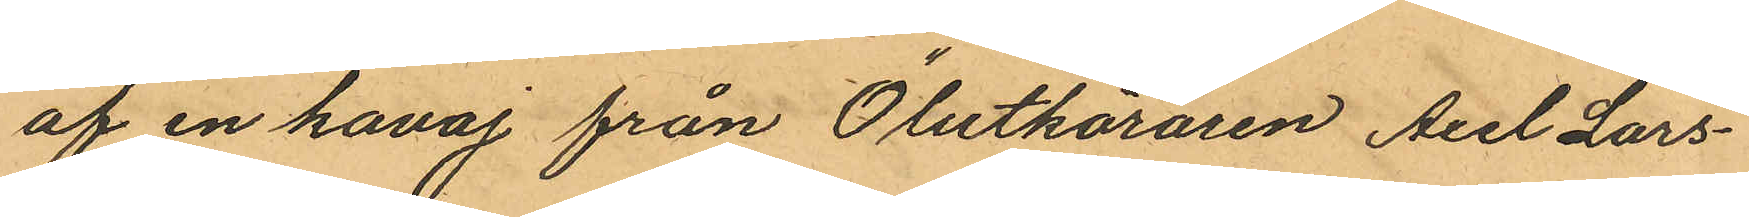af en kavaj från Ölutköraren Axel Lars¬
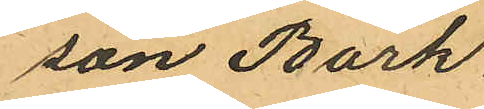son Bark.
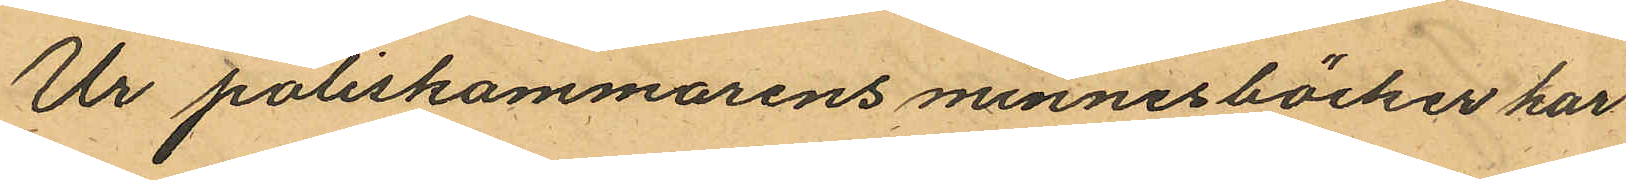Ur poliskammarens minnesböcker har
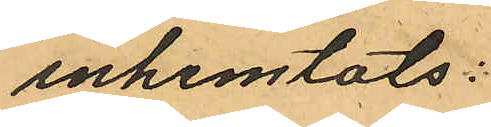inhemtats:
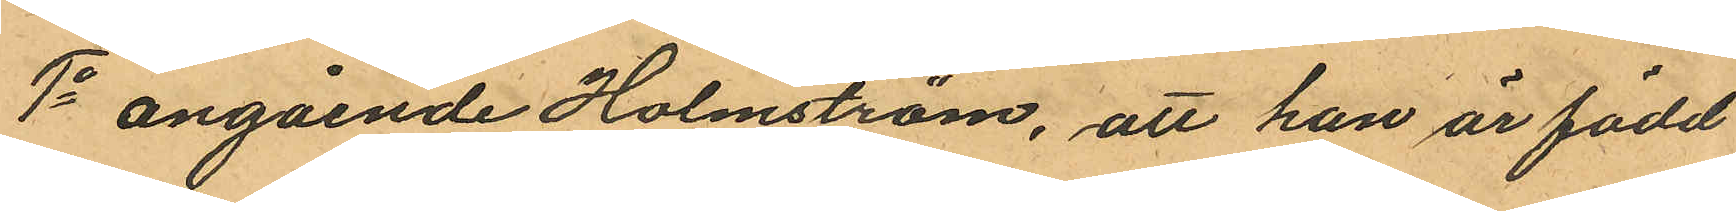1o angående Holmström, att han är född
